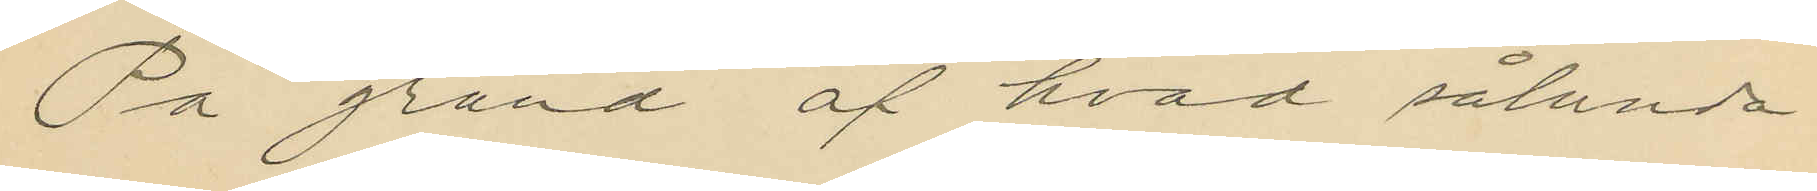På grund af hvad sålunda
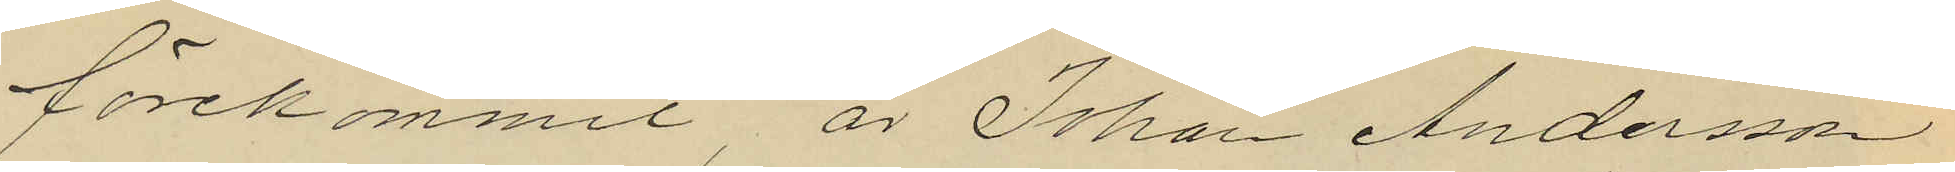förekommit är Johan Andersson
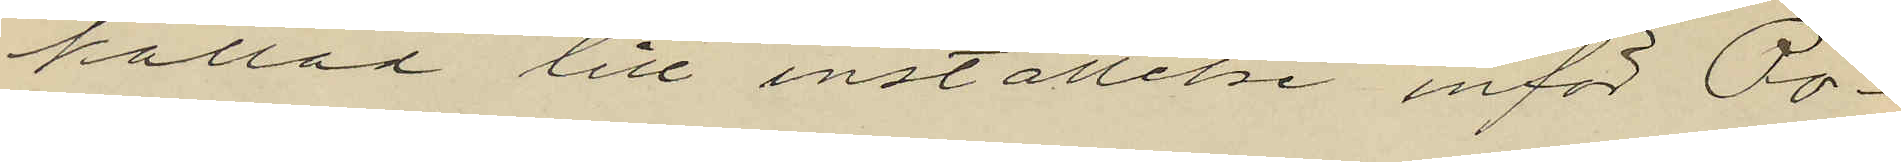kallad till inställelse inför Po¬
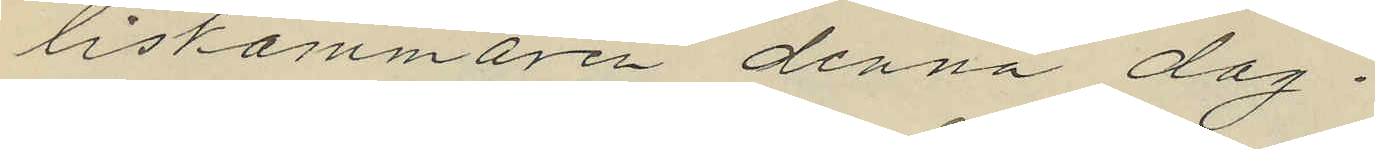liskammaren denna dag.
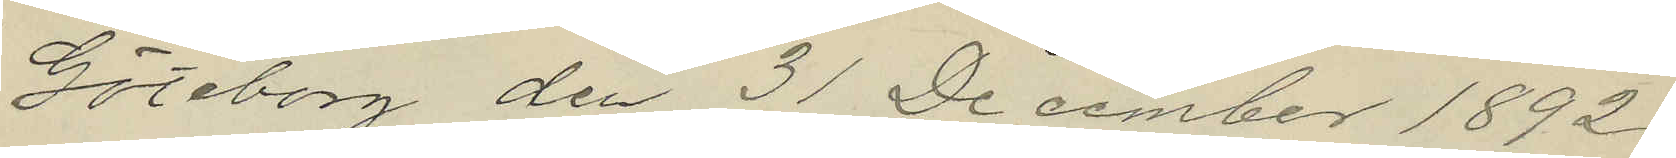Göteborg den 31 December 1892.
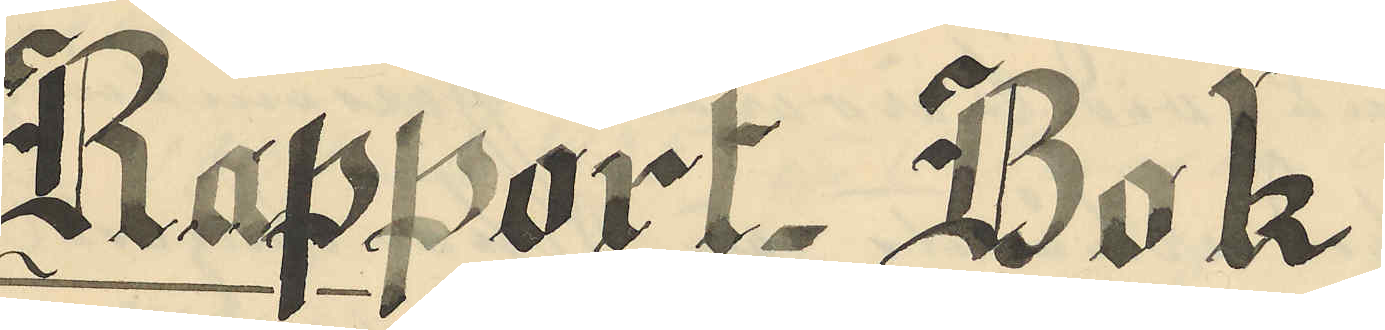Rapport- Bok
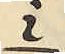i
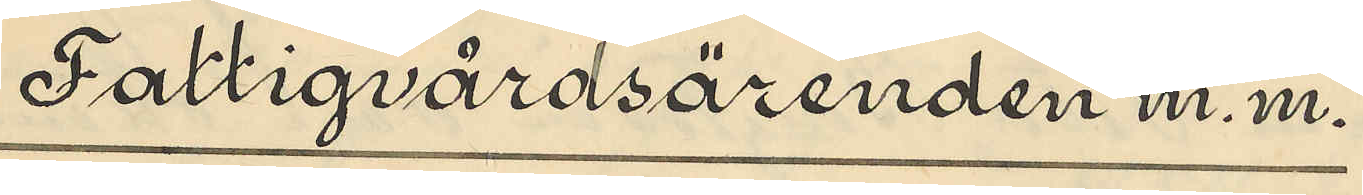Fattigvärdsärenden m.m.
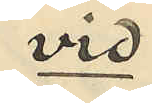vid
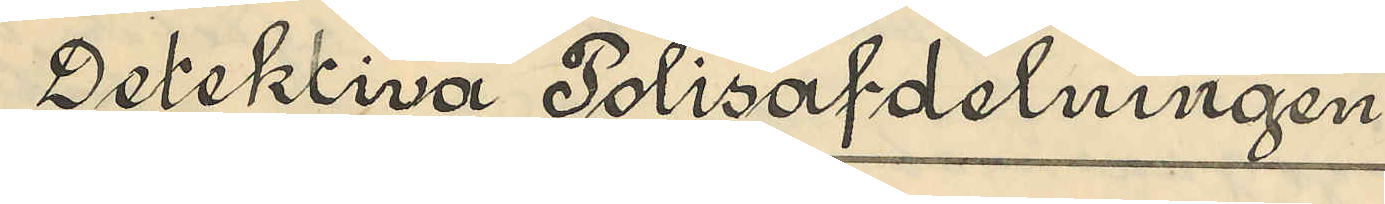Detektiva Polisafdelningen
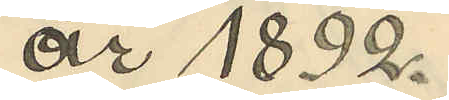år 1892.
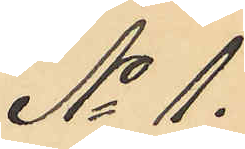No 1.
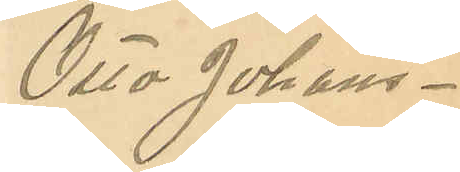Otto Johans¬
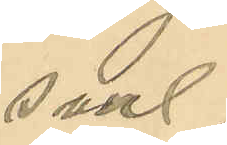son.
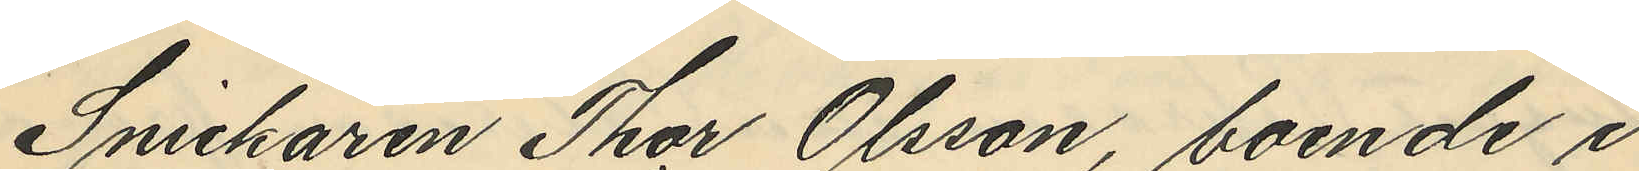Snickaren Thor Olsson, boende i
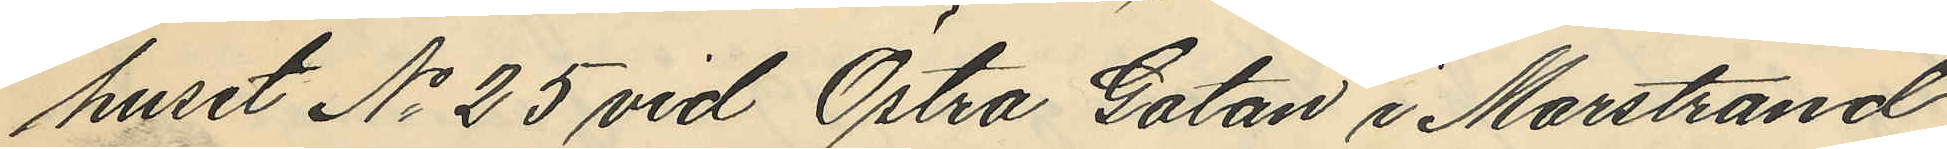huset No 25 vid Östra Gatan i Marstrand
